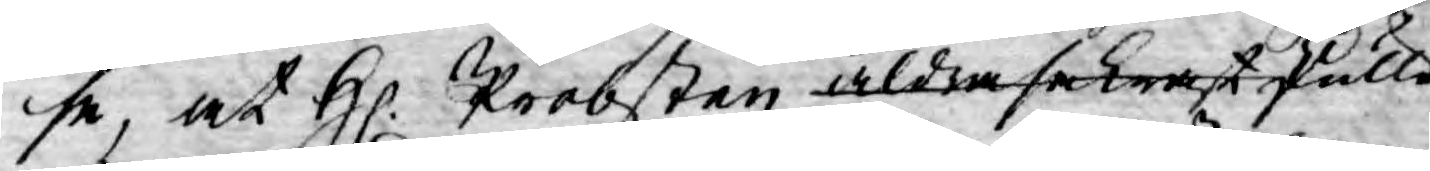se, at H. Probsten aldra sakrast skulle
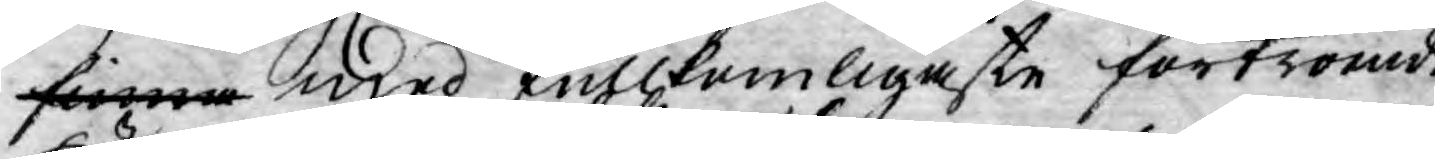finna med fullkomligaste förtroende
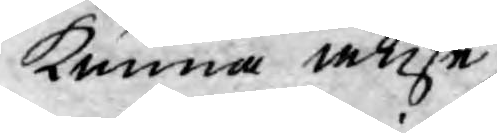kunna anse
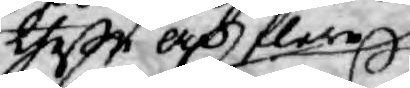ther och flere
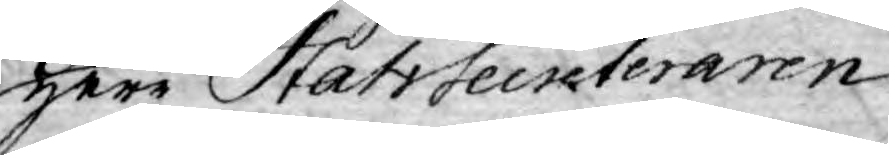Herr StatsSecreteraren
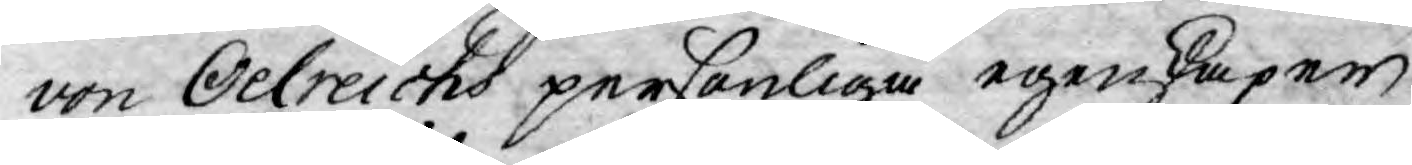von Oelreichs personliga egenkaper,
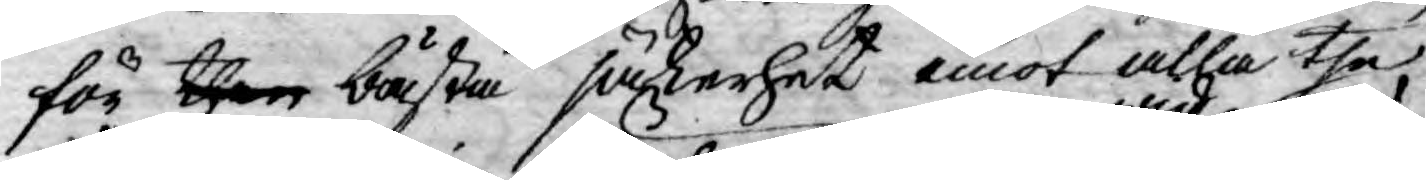för then bästa säkerhet emot alla the
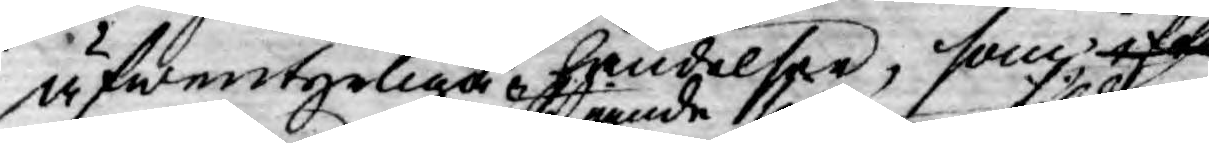äfwentyrliga händelser, som efter
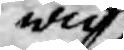wid
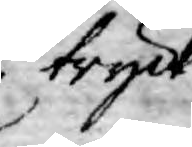tryck¬
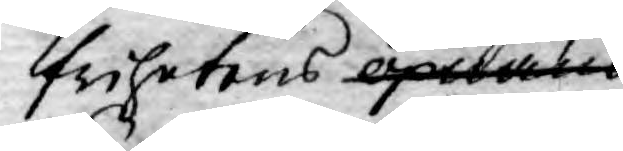frihetens öpnande
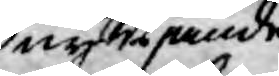nytijande
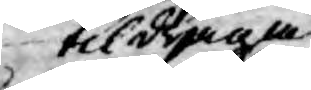tildraga
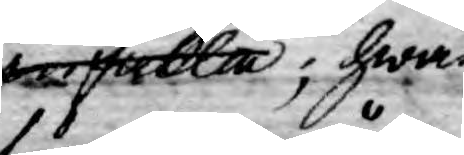infalla; hwar¬
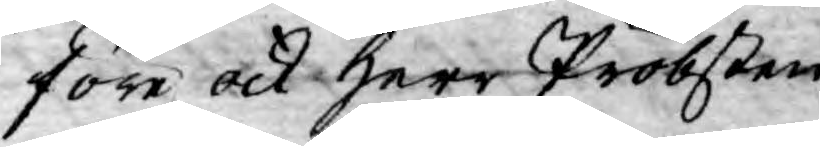före ock Herr Probsten
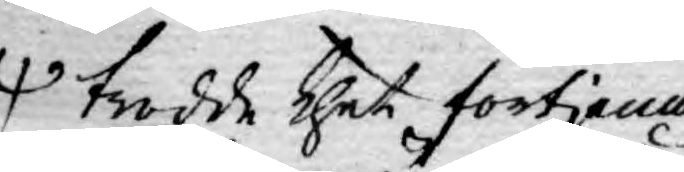trodde thet förtjena
